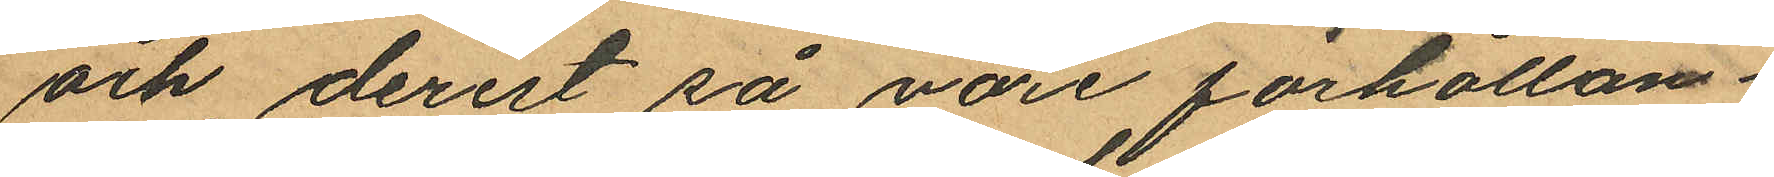och derest så vore förhållan¬
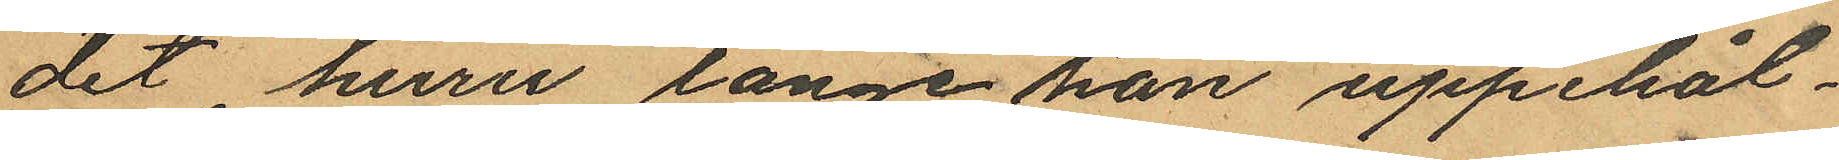det huru länge han uppehål¬
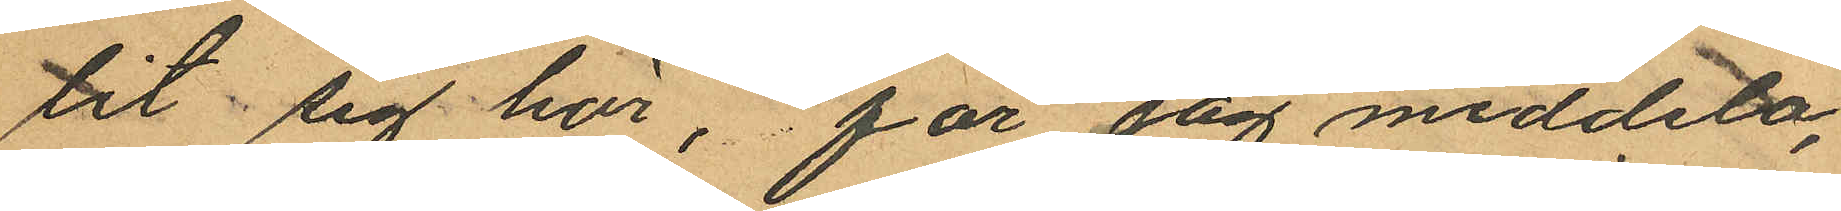lit sig här, får jag meddela,
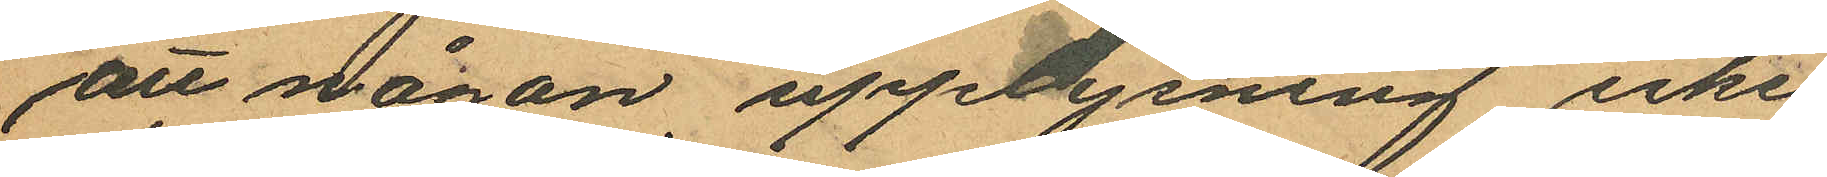att någon upplysning icke
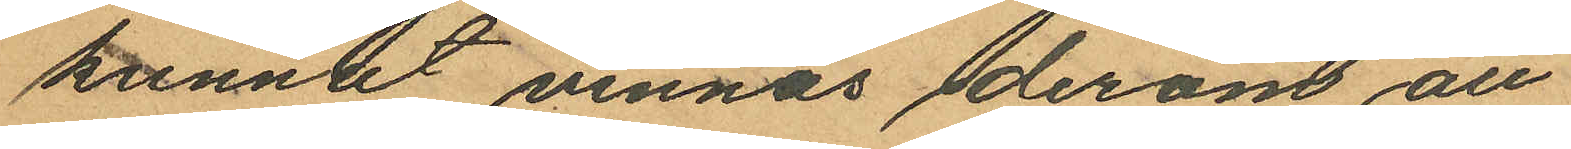kunnat vinnas derom att
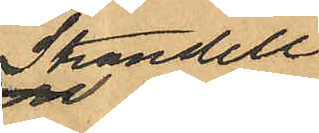Strandell
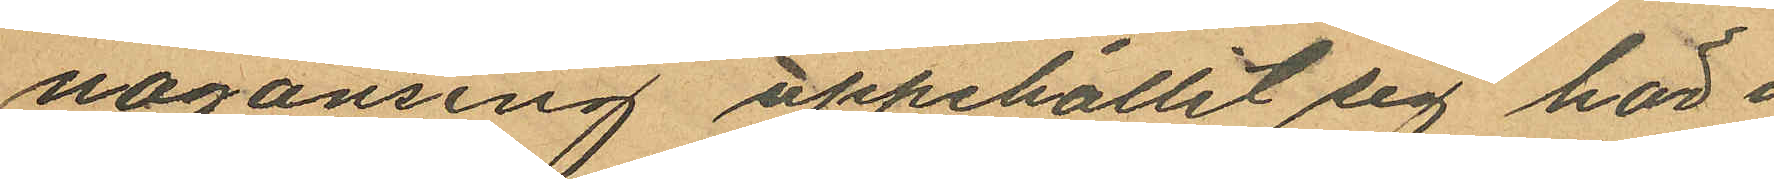nåronsing uppehållit sig här i
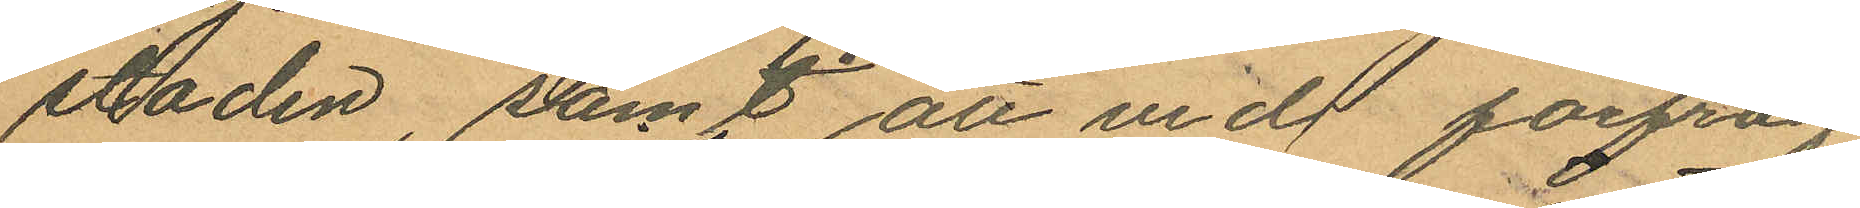staden samt att vid förfråg¬
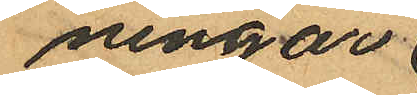ningar
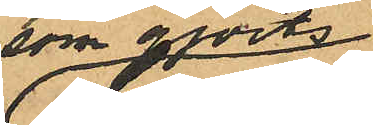som gjorts
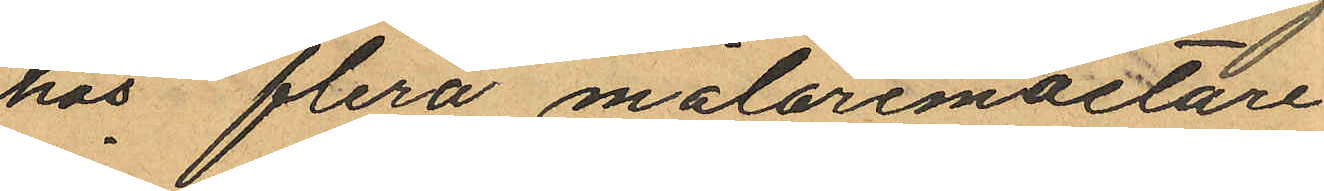hos flera målaremästare
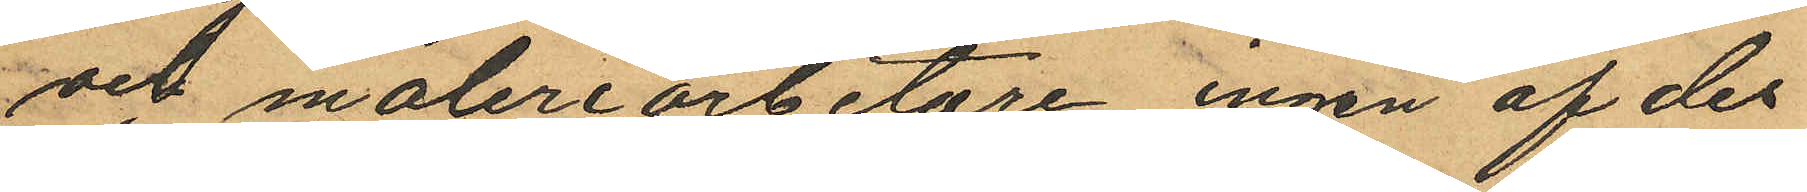och måleriarbetare ingen af des¬
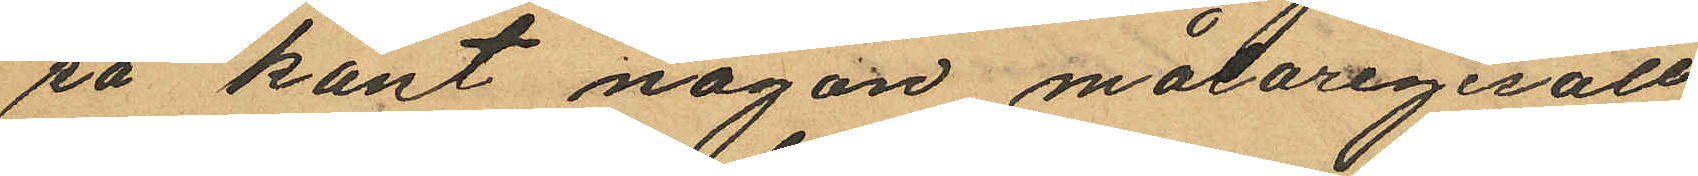sa känt någon målaregesäll
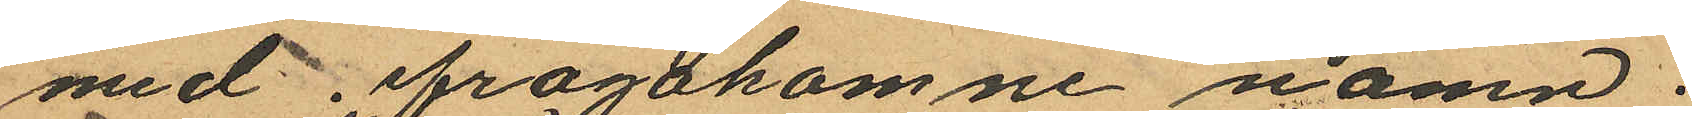med, ifrågakomne namn.
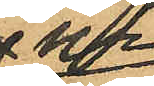Ur
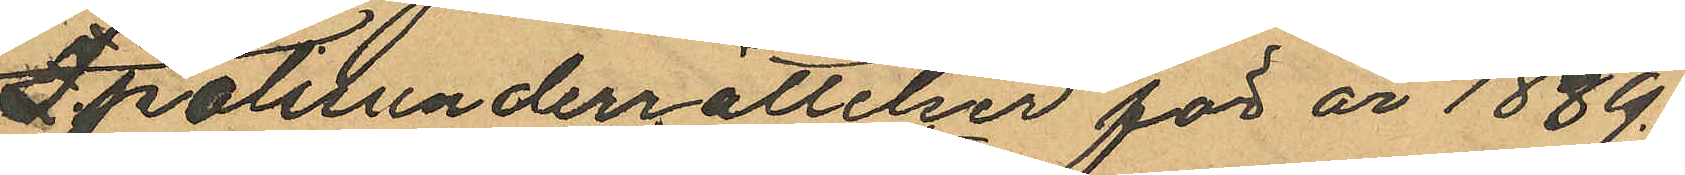Polisunderrättelser för år 1889.
